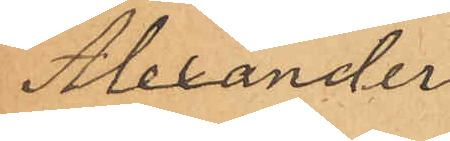Alexander
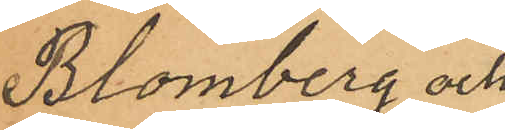Blomberg och
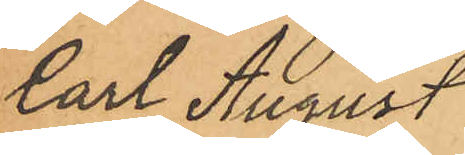Carl August
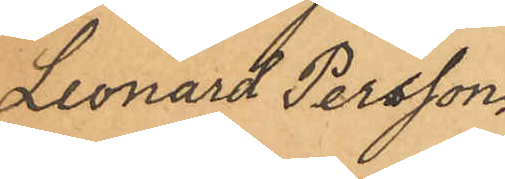Leonard Persson.
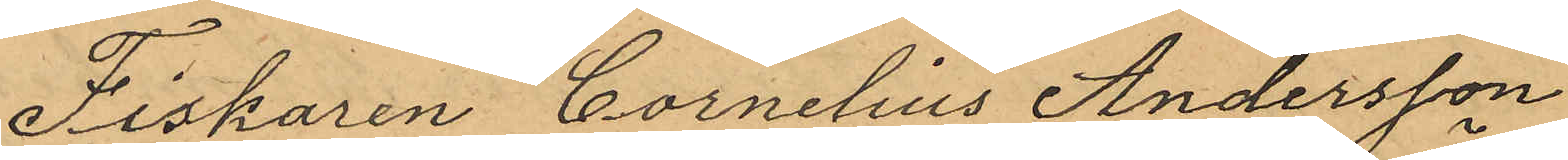Fiskaren Cornelius Andersson
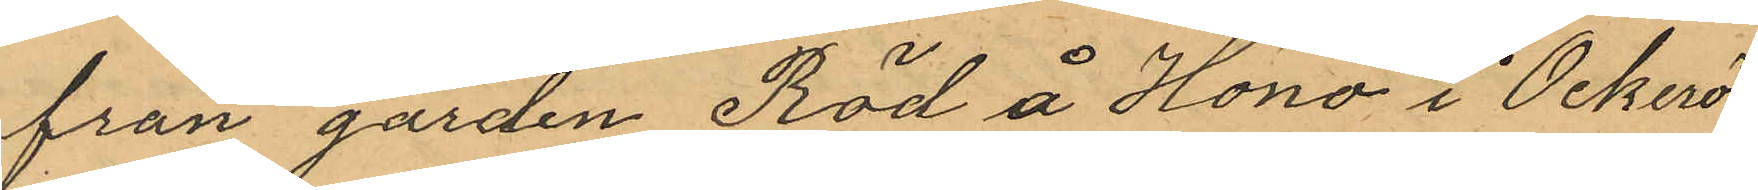från gården Röd å Höno i Öckerö
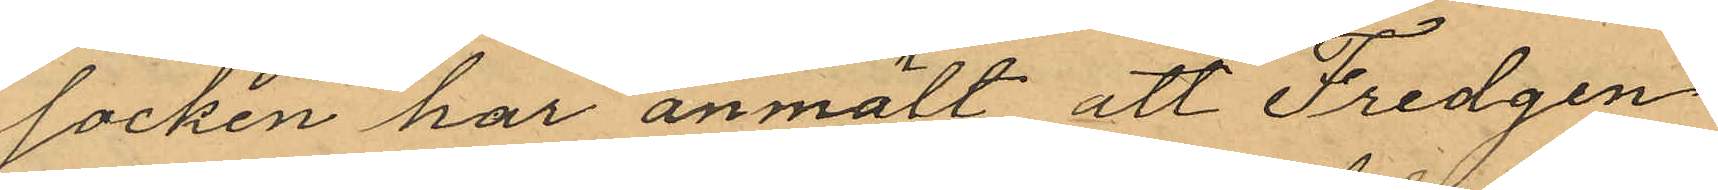socken har anmält att Fredgen
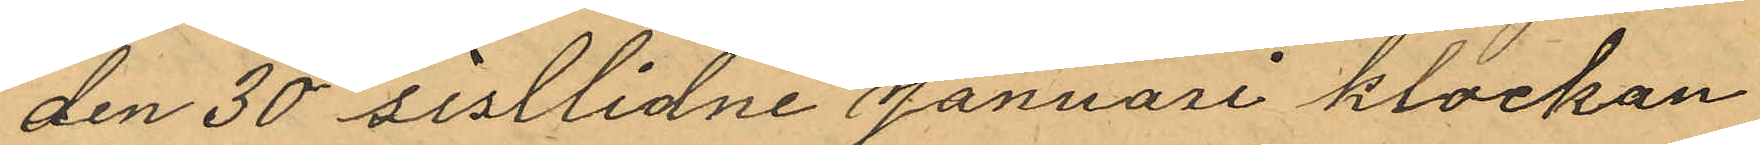den 30 sistlidne Januari klockan
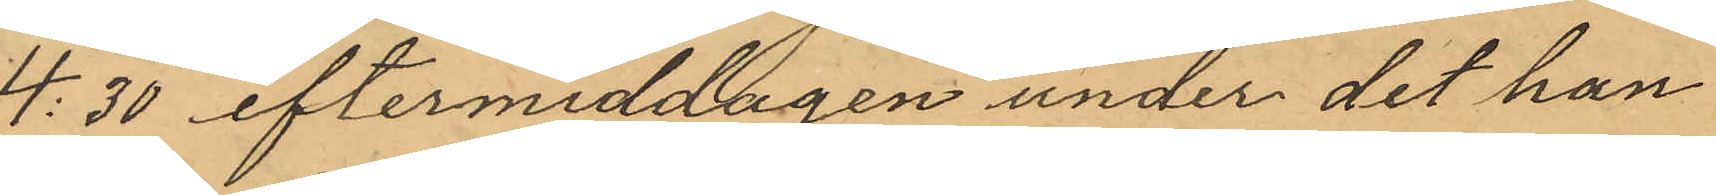4:30 eftermiddagen under det han
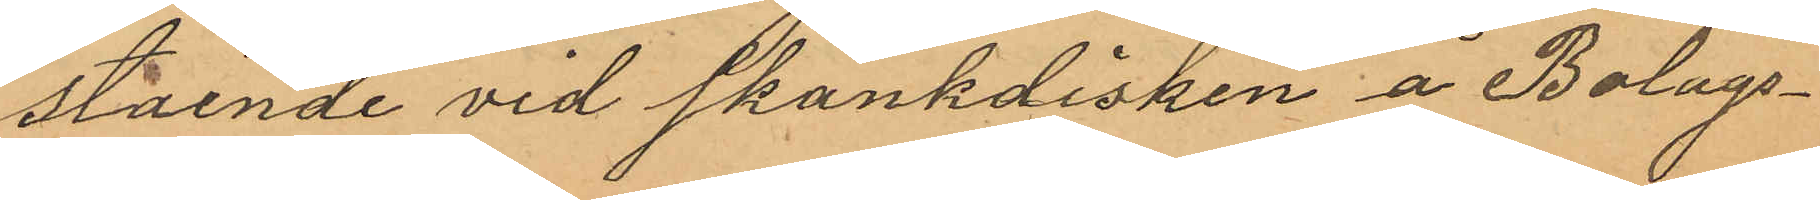stående vid skänkdisken å Bolags¬
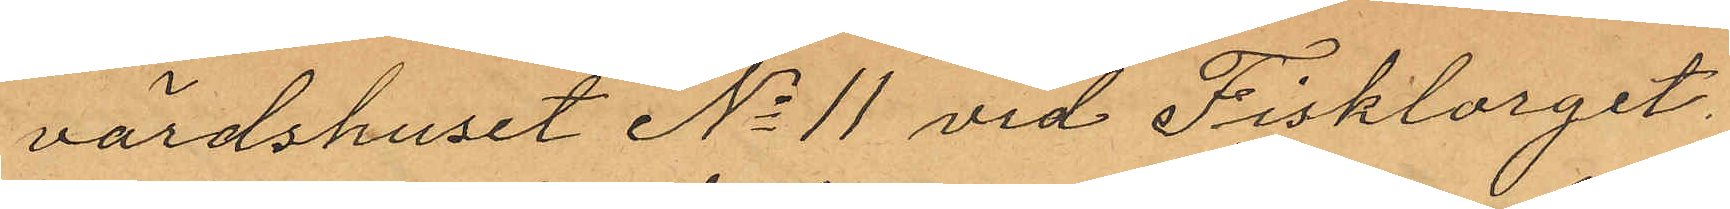värdshuset No 11 vid Fisktorget,
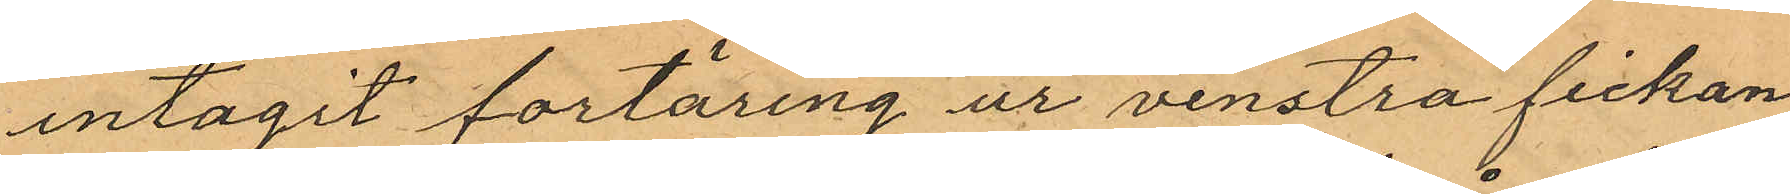intagit fortäring ur venstra fickan
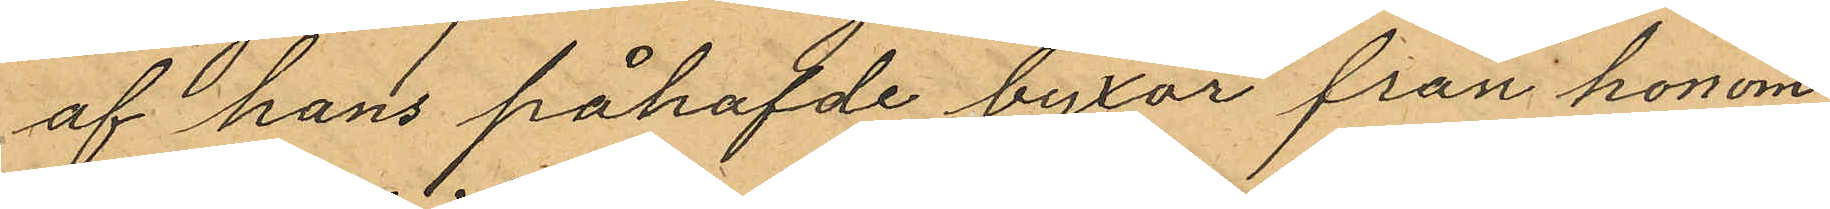af hans påhafvde byxor från honom
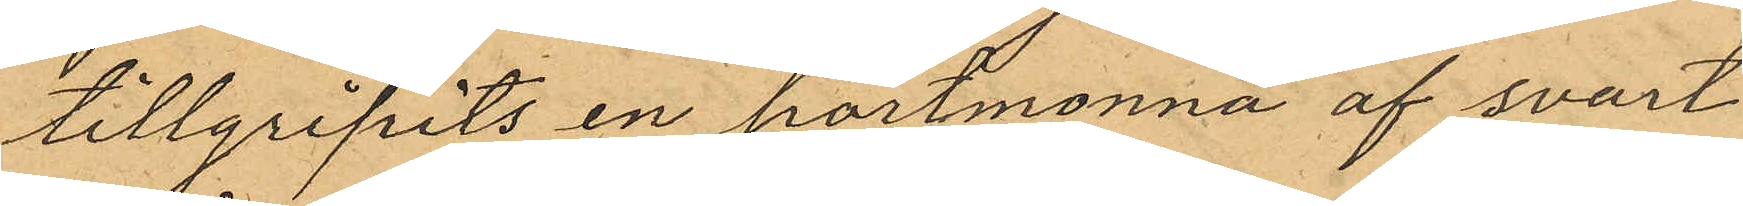tillgripits en portmonnä af svart
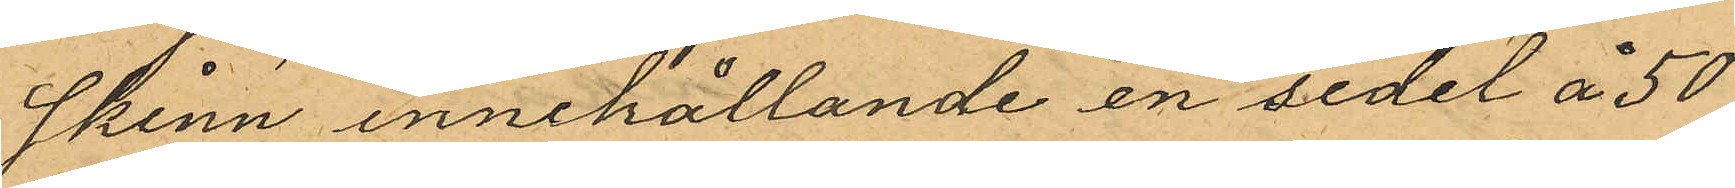skinn innehållande en sedel å 50
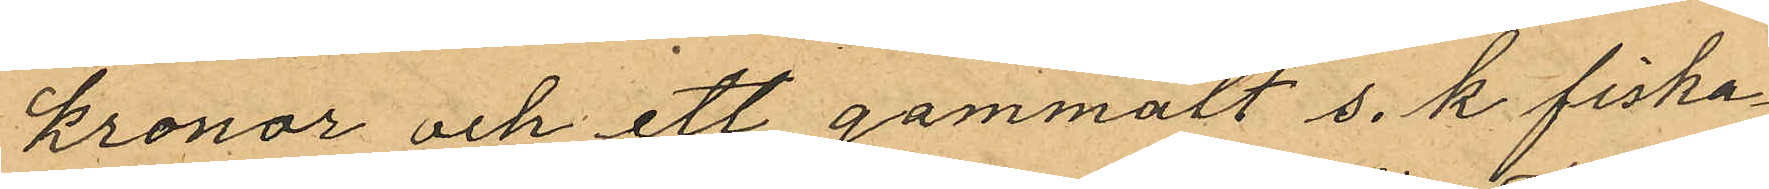kronor och ett gammalt s. k fiska¬
